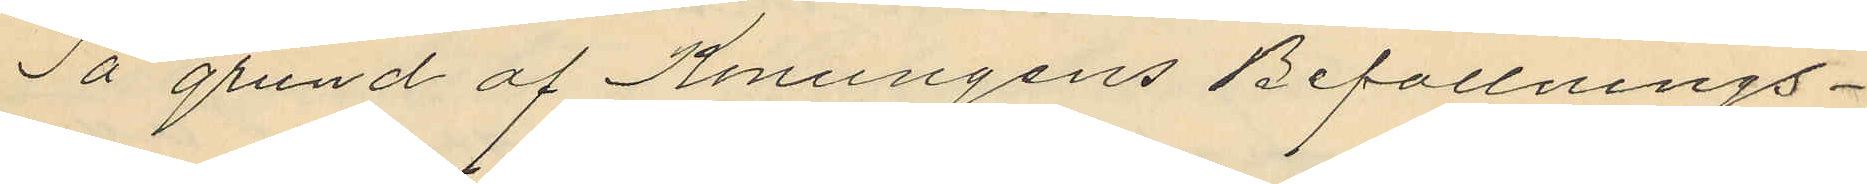På grund af Konungens Befallnings¬
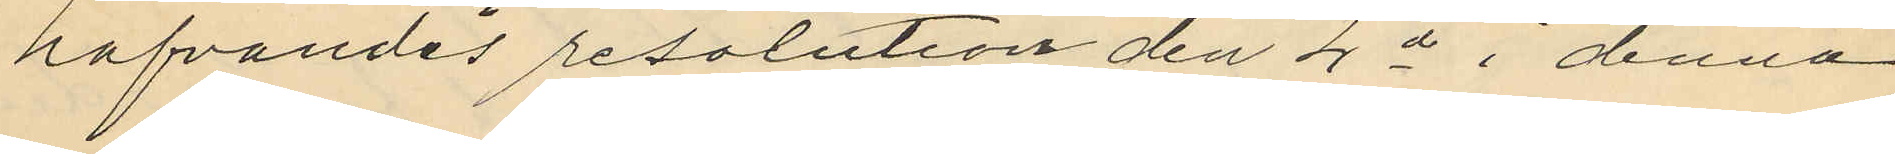hafvandes resolution den 4de i denna
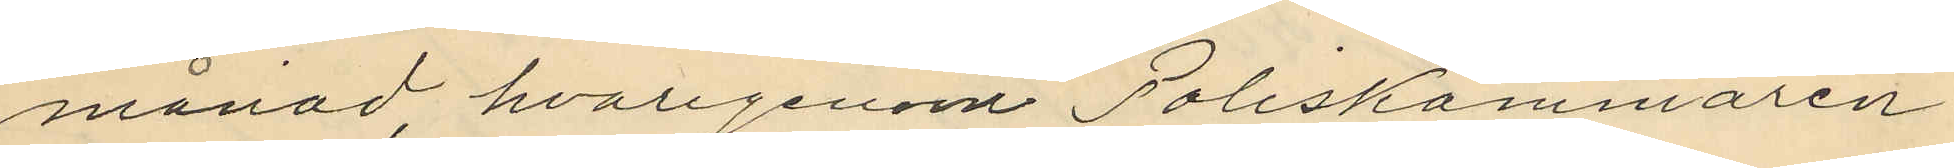månad, hvarigenom Poliskammaren
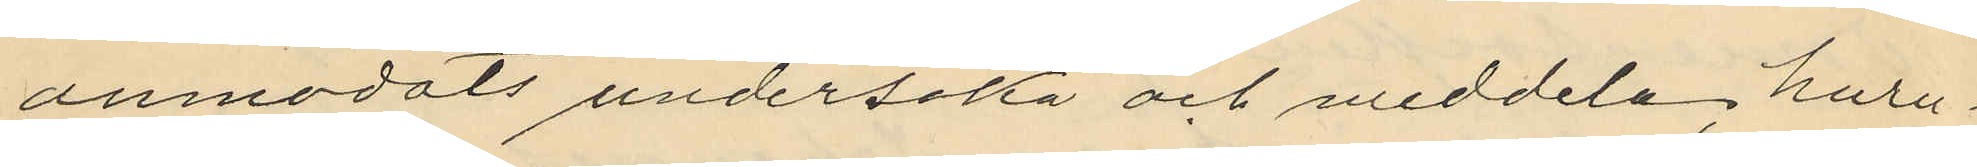anmodats undersöka och meddela; huru
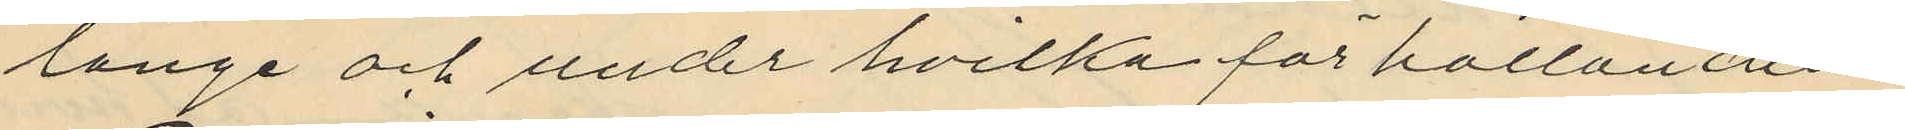länge och under hvilka förhållanden
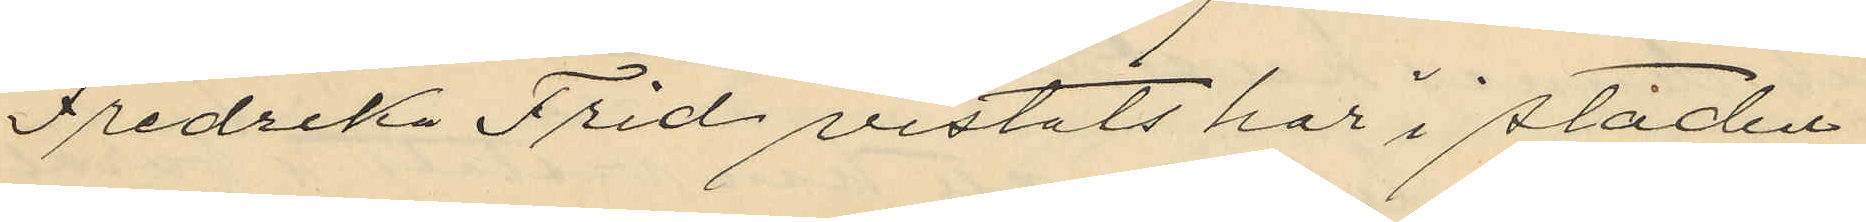Fredrika Frid vistats här i staden
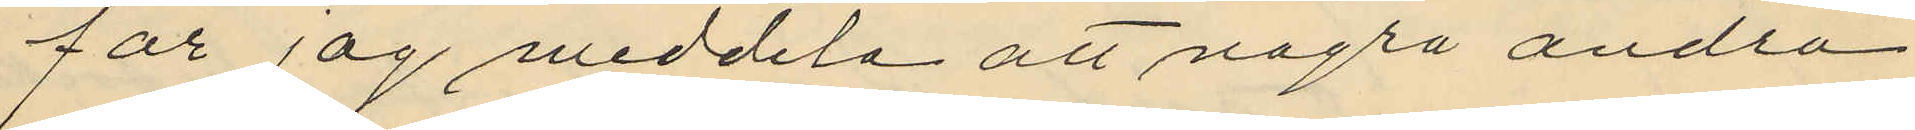får jag meddela att några andra
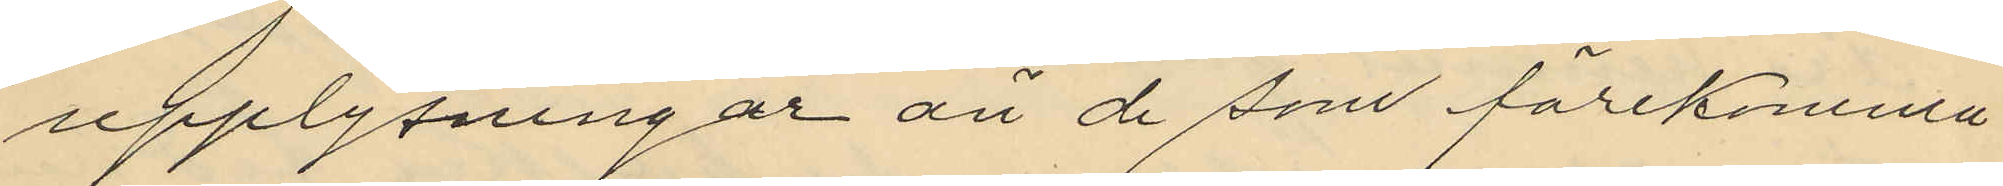upplysningar än de som förekomma
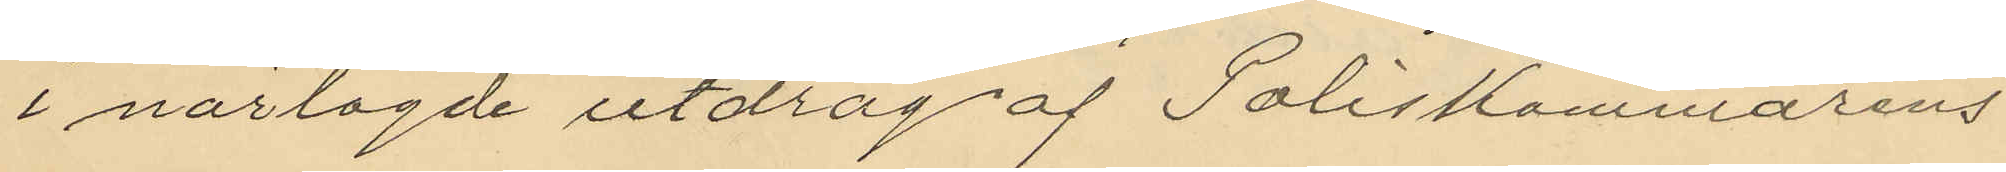i närlagde utdrag af Poliskammarens
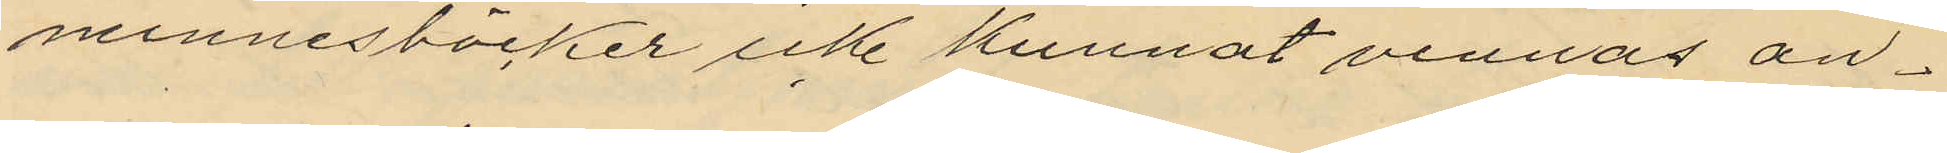minnesböcker icke kunnat vinnas an¬
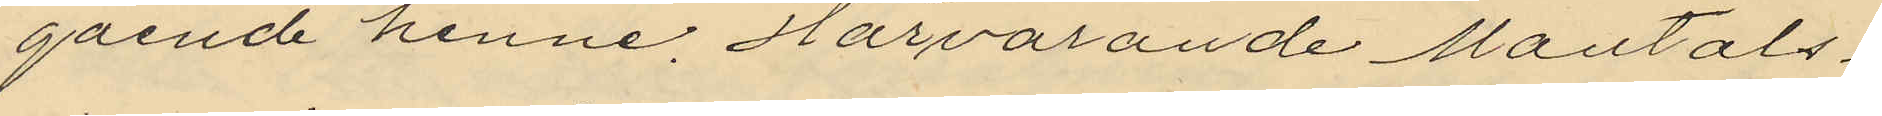gående henne. Härvarande Mantals¬
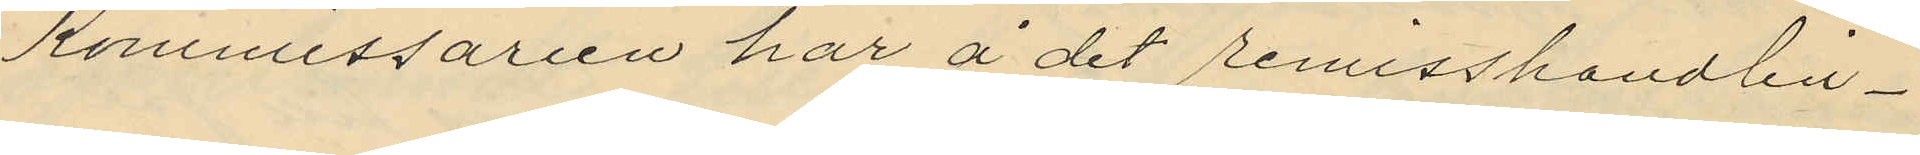Kommissarien har å det remisshandlin¬
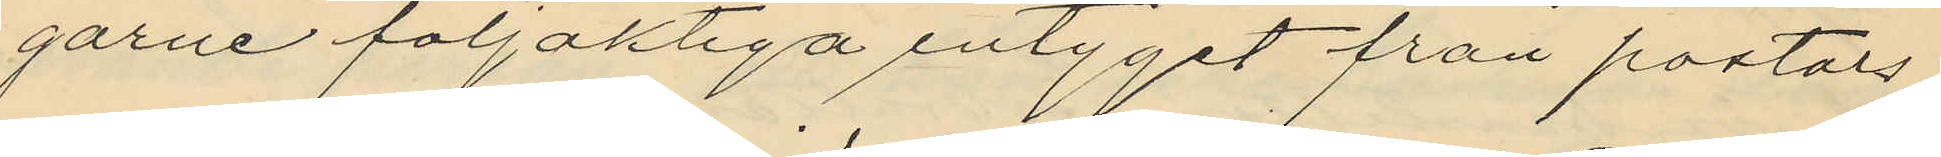garne följaktiga intyget från pastors¬
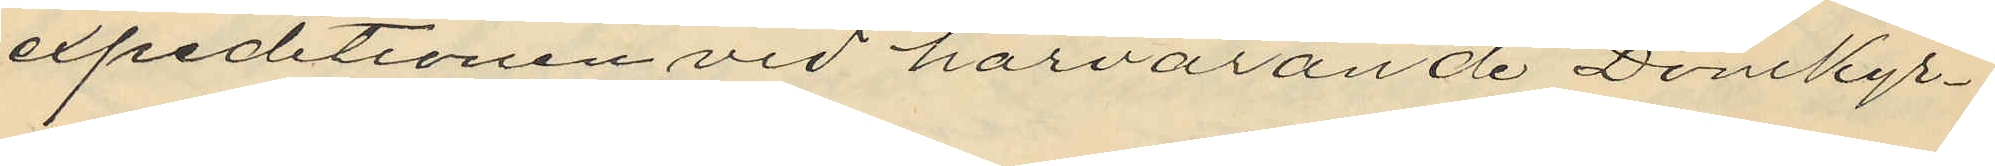expeditionen vid härvarande Domkyr¬
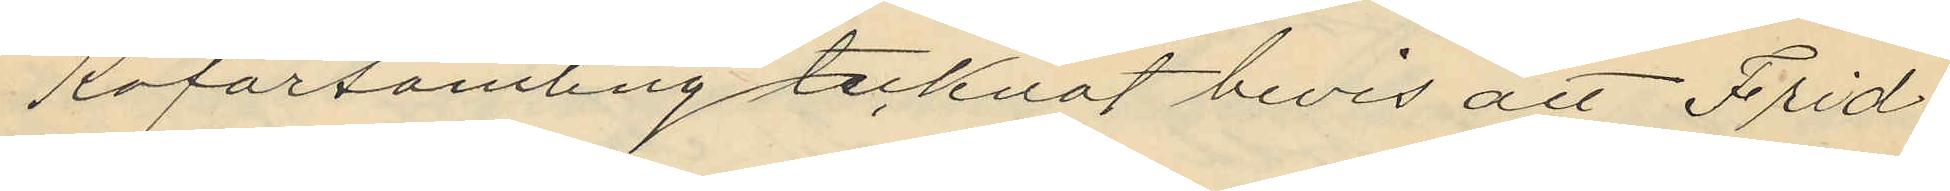koförsamling tecknat bevis att Frid
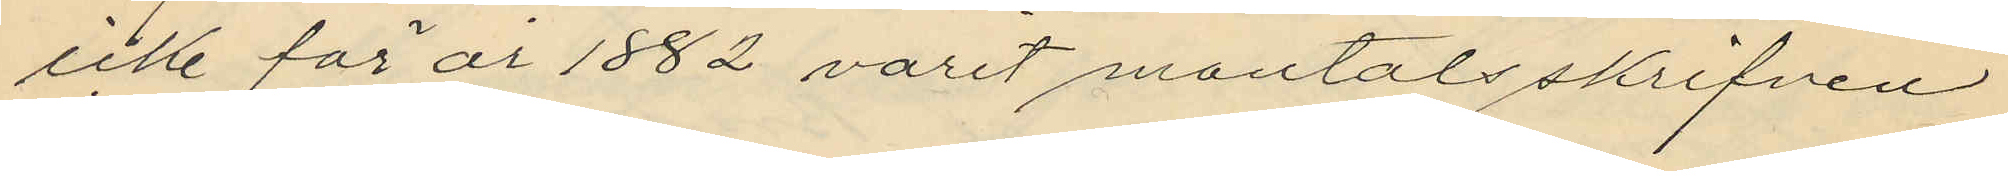icke för år 1882 varit mantalsskrifven
